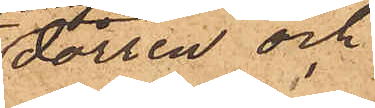dörren och
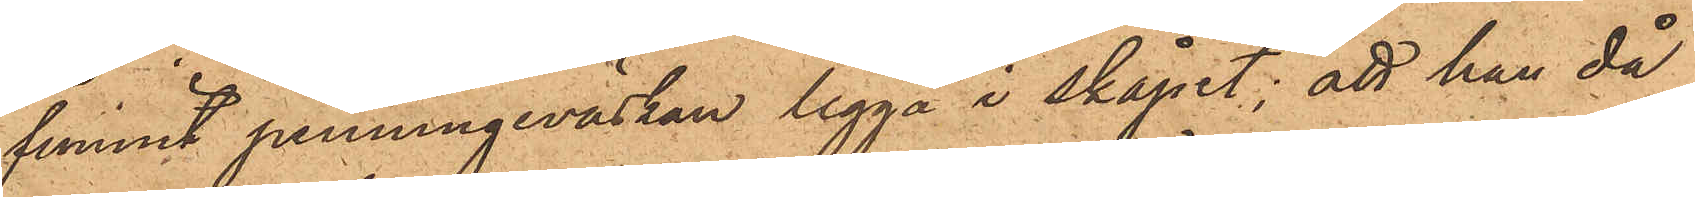funnit penningeväskan ligga i skåpet; att han då
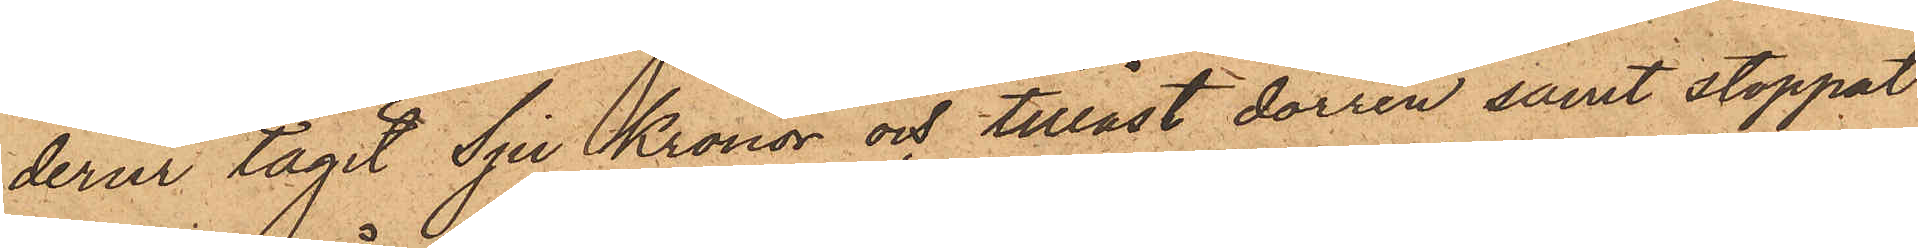derur tagit Sju Kronor och tillåst dörren samt stoppat
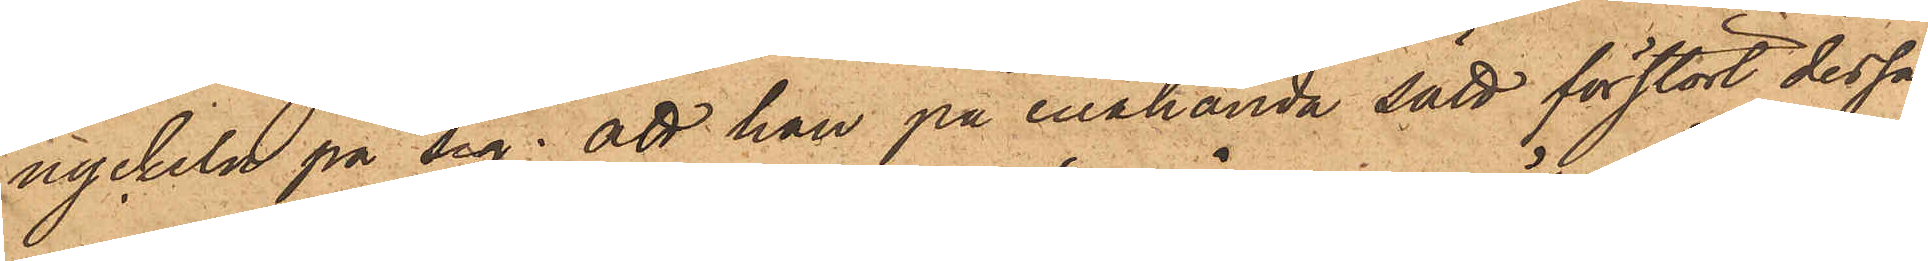nyckeln på sig; att han på enahanda sätt förstört dessa
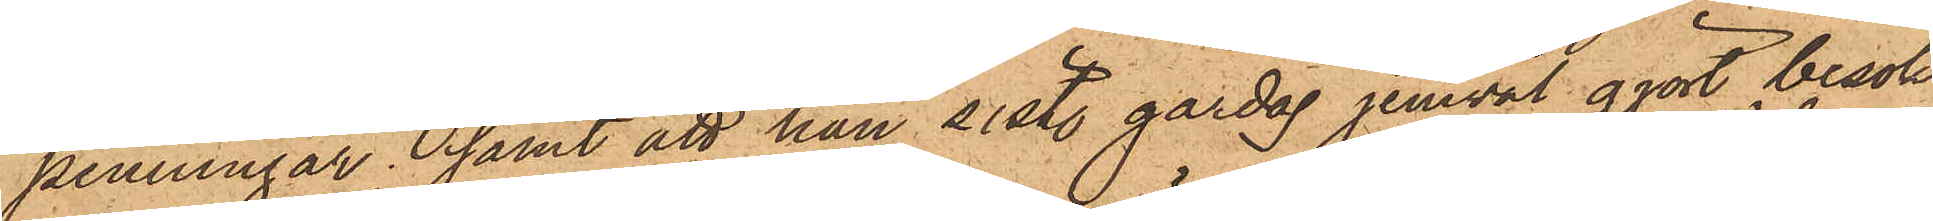penningar; samt att han sistl. gårdag jemväl gjort besök
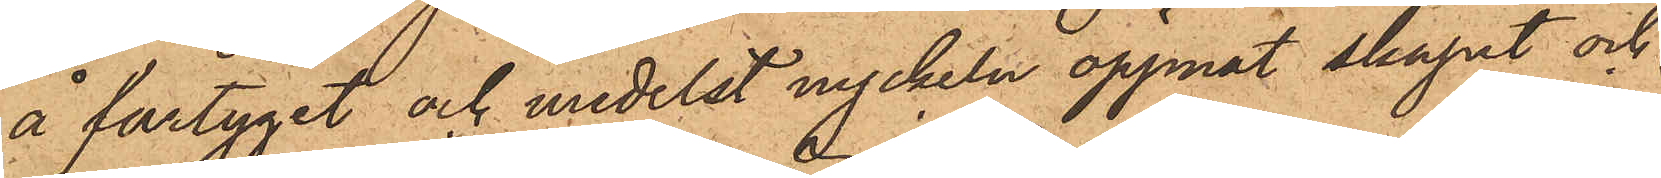å fartyget och medelst nyckeln öppnat skapet och
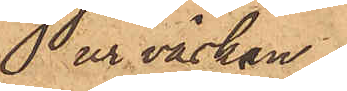ur väskan
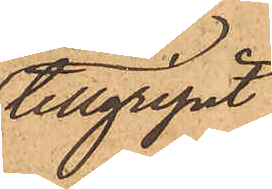tillgripit
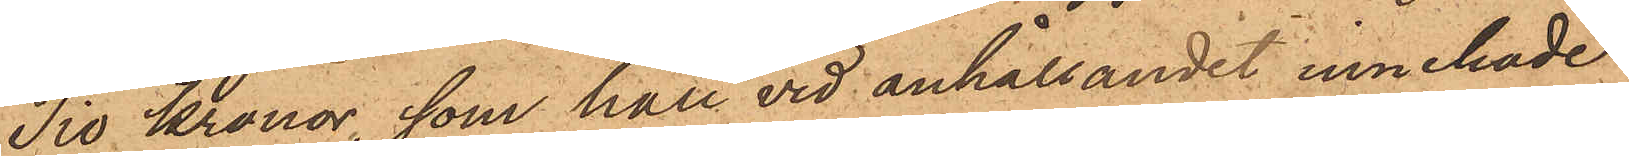Tio Kronor, som han vid anhållandet innehade.
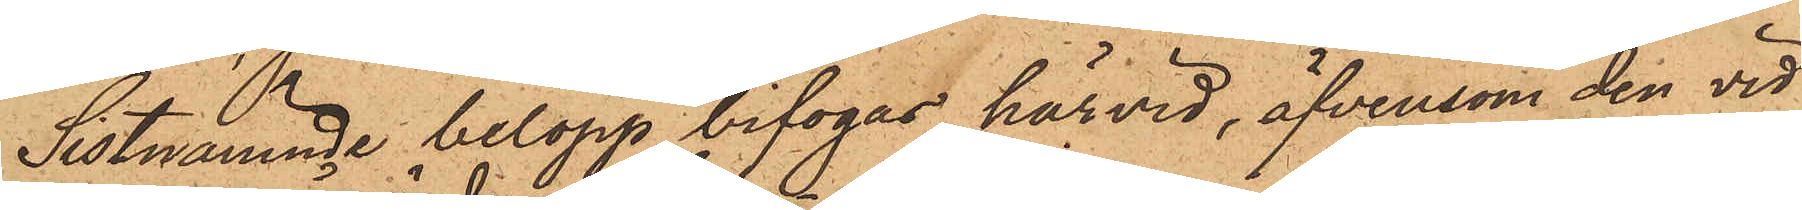Sistnämnde belopp bifogas härvid, äfvensom den vid
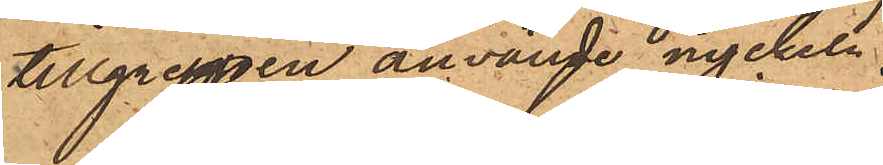tillgreppen använde nyckeln;
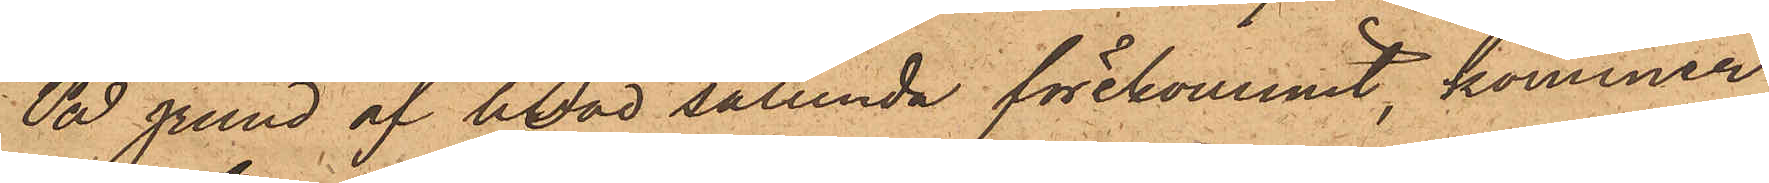På grund af hvad sålunda förekommit, kommer
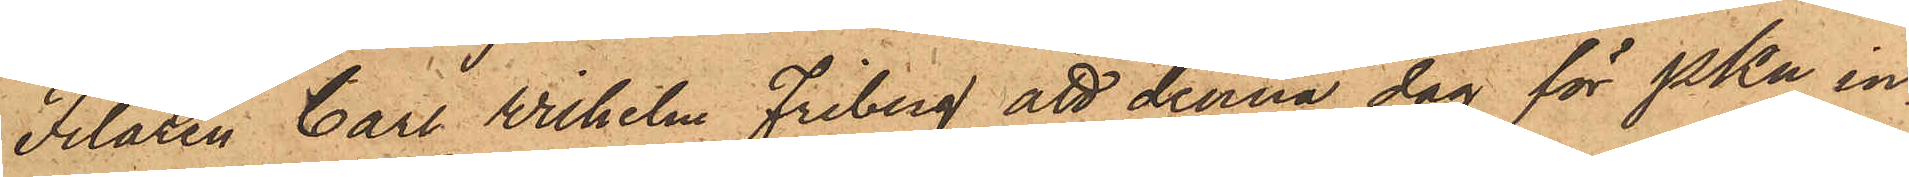Filaren Carl Wilhelm Friberg att denna dag för PKn in¬
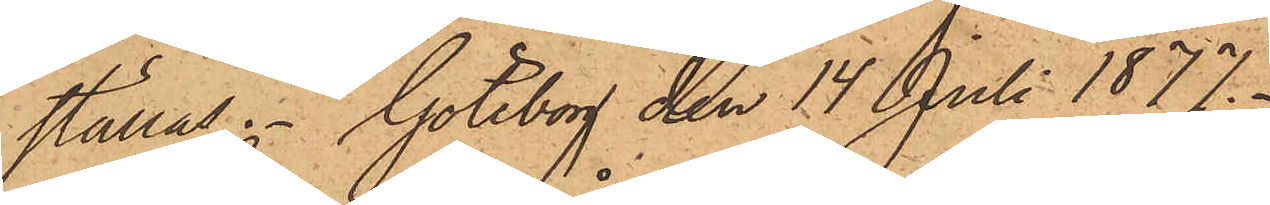ställas. Göteborg den 14 Juli 1877.
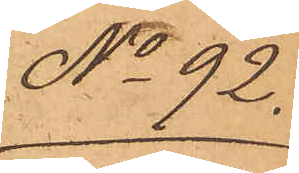No 92
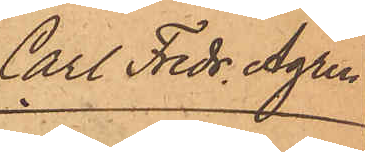Carl Fredr. Ågren
